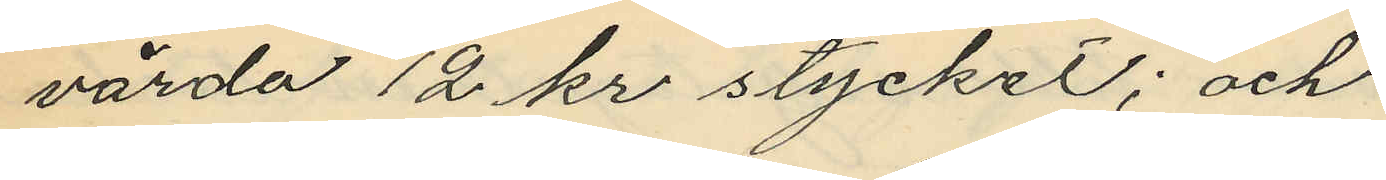värda 12 kr stycket; och
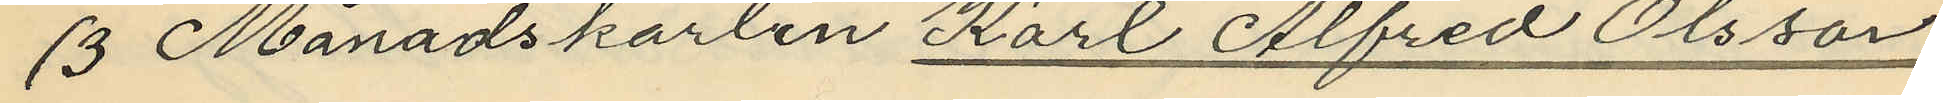3 Månadskarlen Karl Alfred Olsson
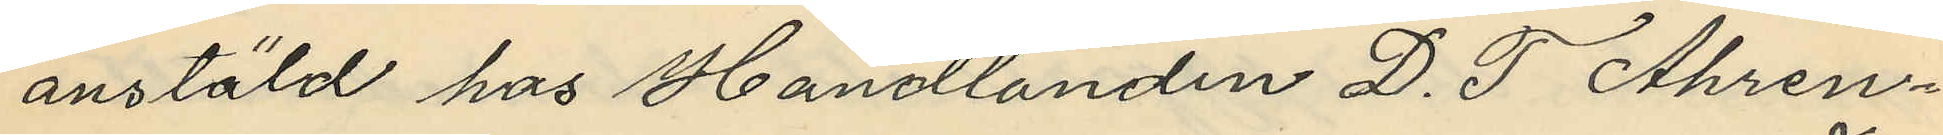anstäld hos Handlanden D. T. Ahren¬
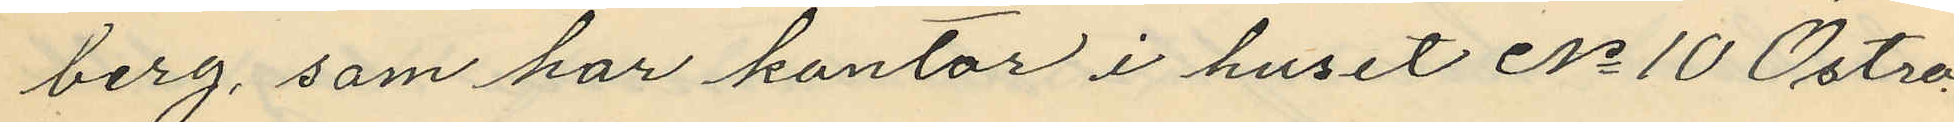berg, som har kontor i huset No 10 Östra
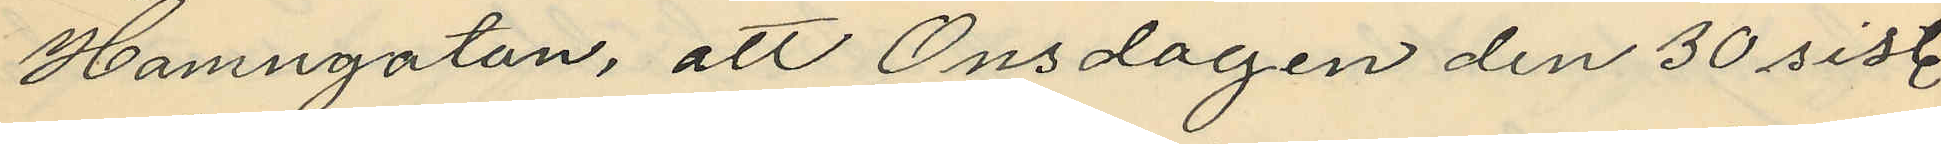Hamngatan, att Onsdagen den 30 sistl
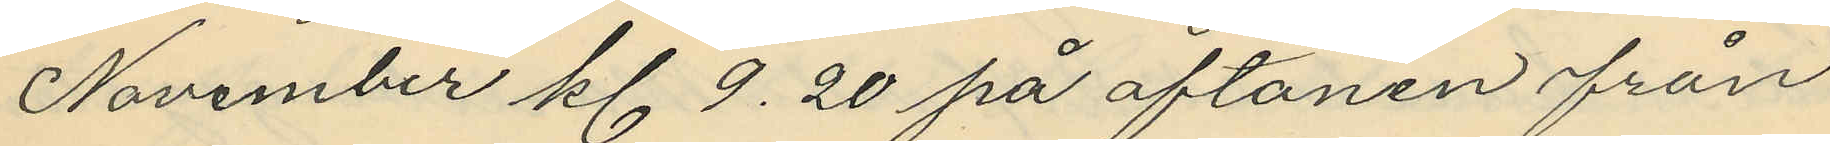November kl. 9.20 på aftonen från
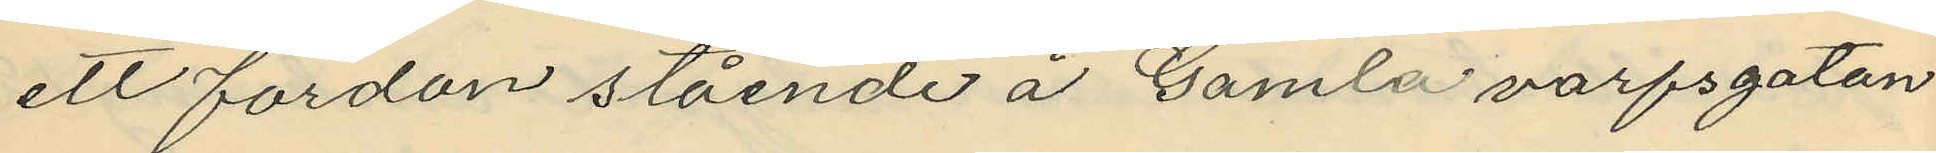ett fordon stående å Gamla varfsgatan
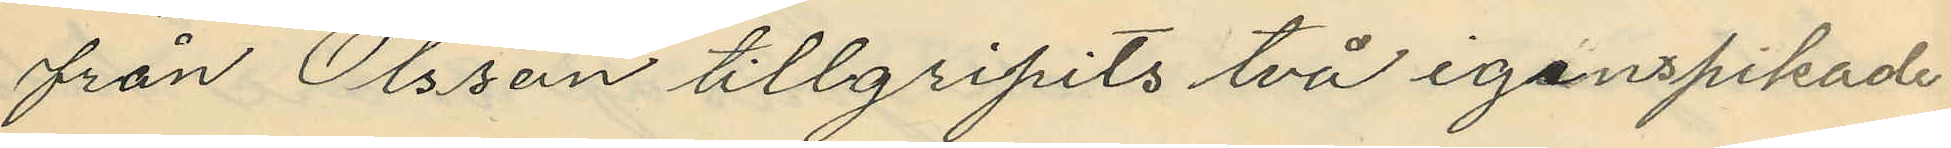från Olsson tillgripits två igenspikade
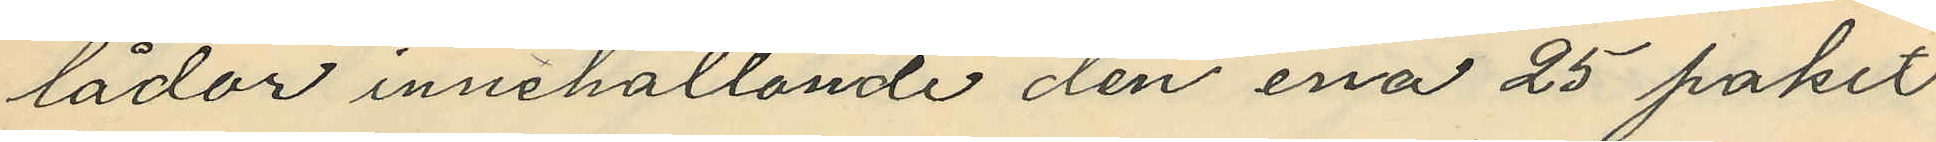lådor innehållande den ena 25 paket
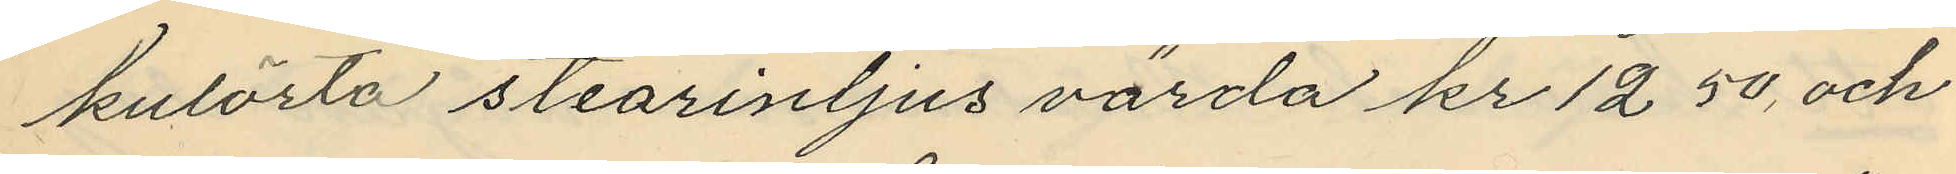kulörta stearinljus värda kr 12 50, och
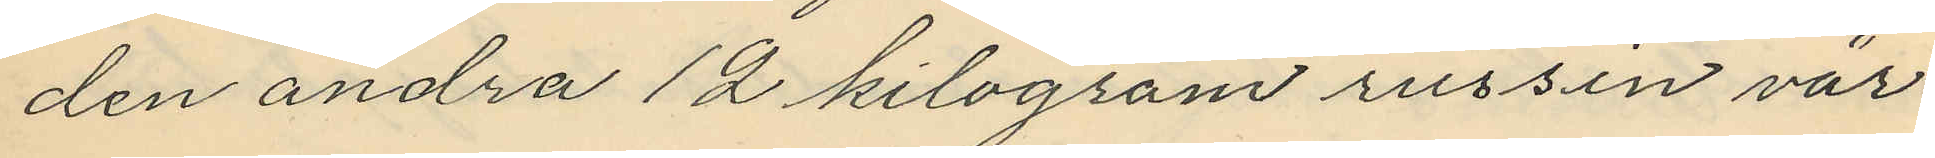den andra 12 kilogram russin vär¬
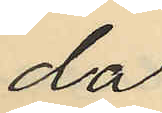da
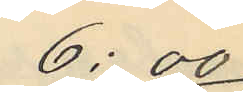6:00
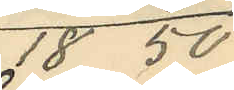18 50
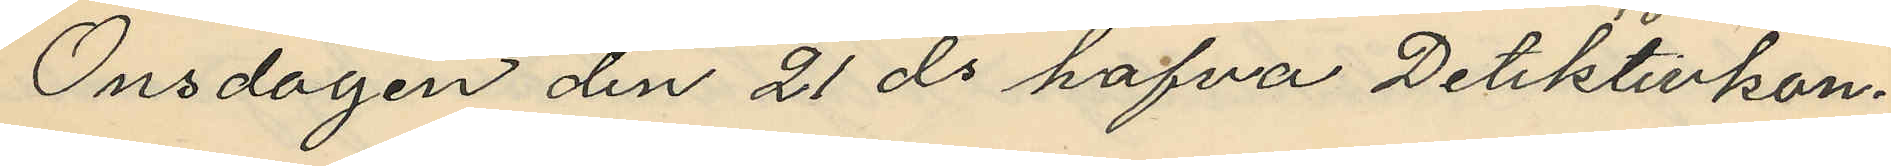Onsdagen den 21 ds hafva Detektivkon¬
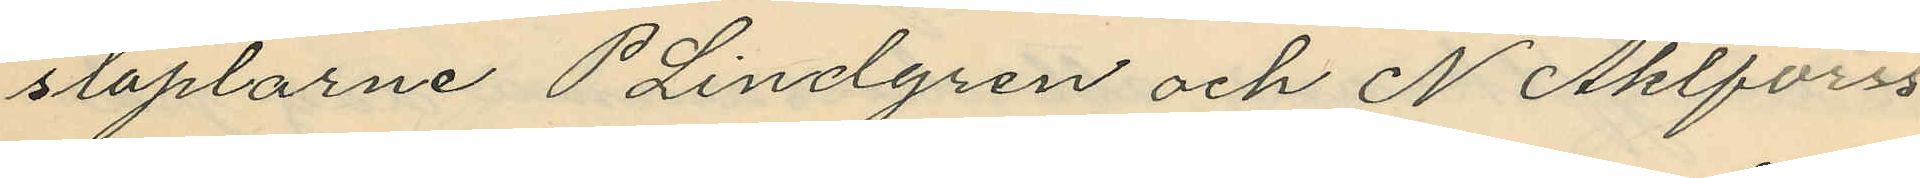staplarne P Lindgren och N Ahlforss
